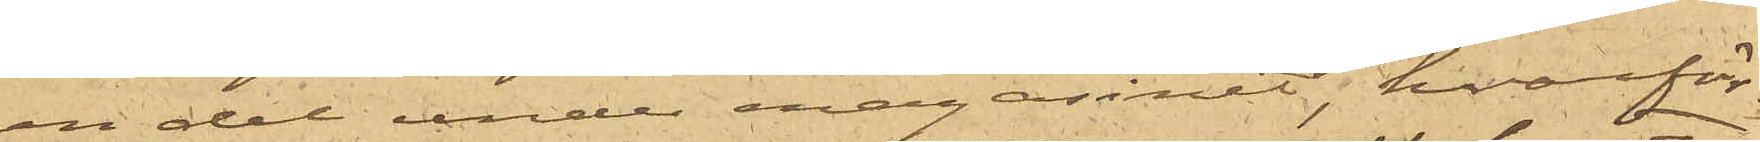en del under magasinet, hvarför¬
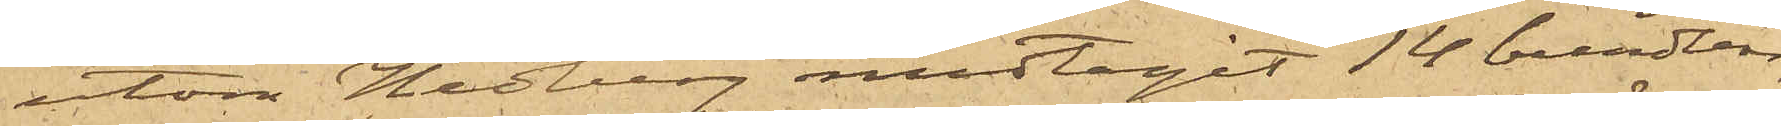utom Hedberg medtagit 14 bundtar, 
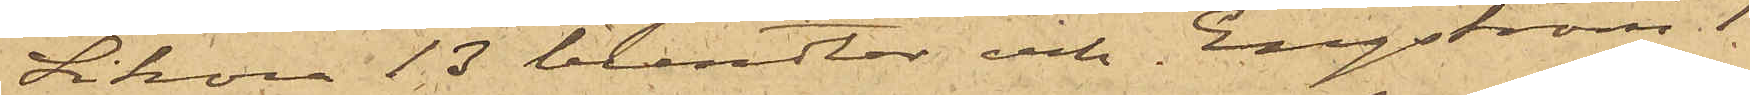Sikora 13 bundtar och Engström 1
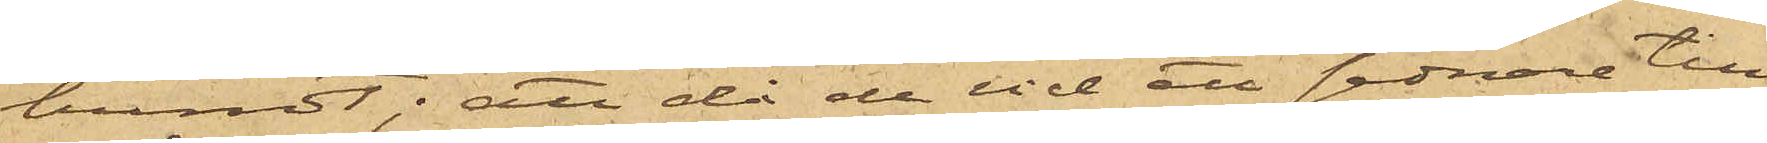bundt; att då de vid ett sednare till¬
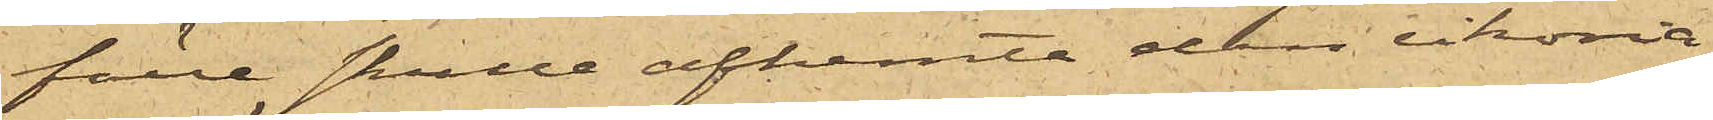fälle skulle afhemta den cikoria
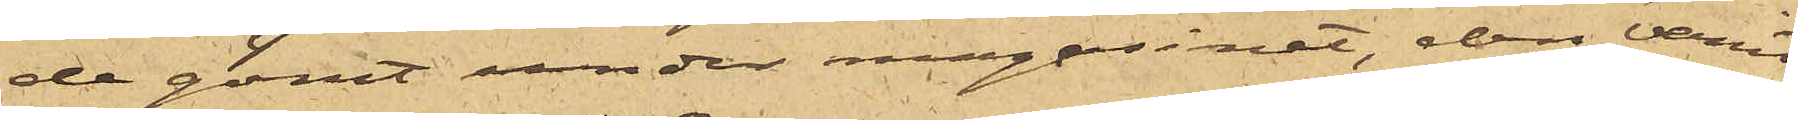de gömt under magasinet, den varit
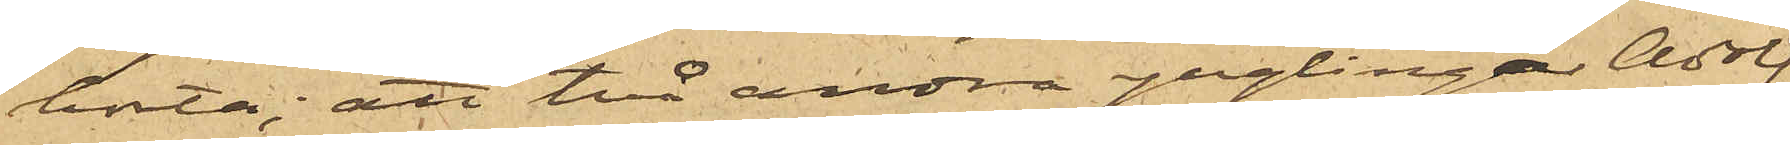borta; att två andra ynglingar, Adolf
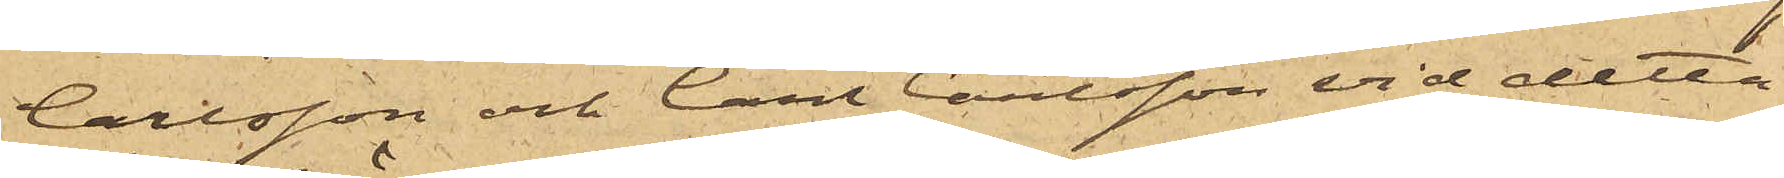Carlsson och Carl Carlsson vid detta
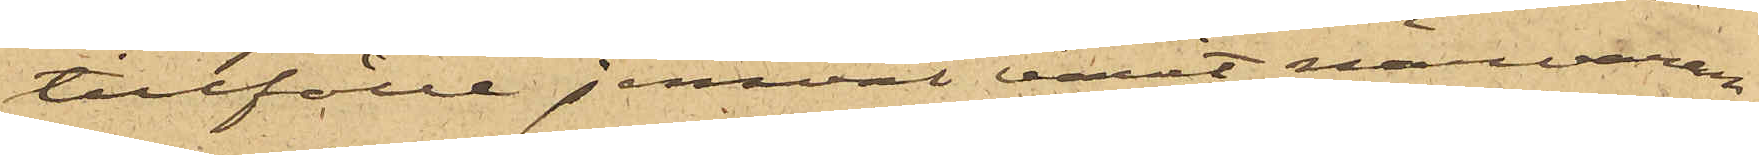tillfälle jemväl varit närvaran¬
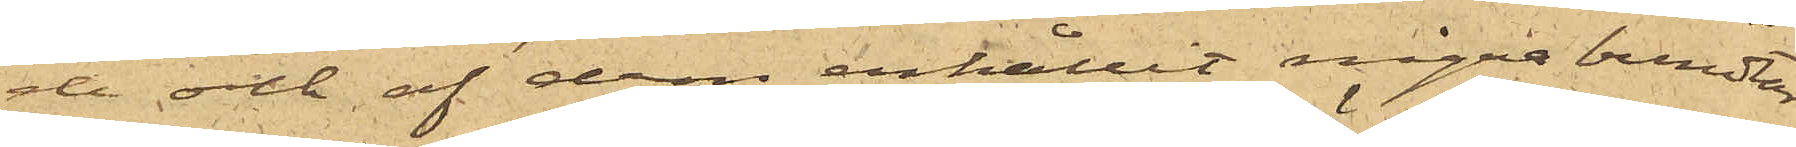de och af dem erhållit några bundtar
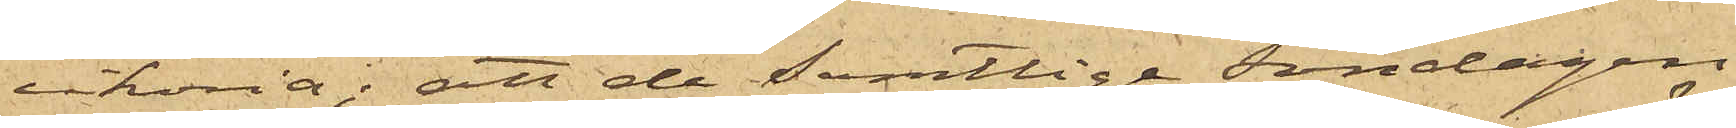cikoria; att de samtlige Söndagen
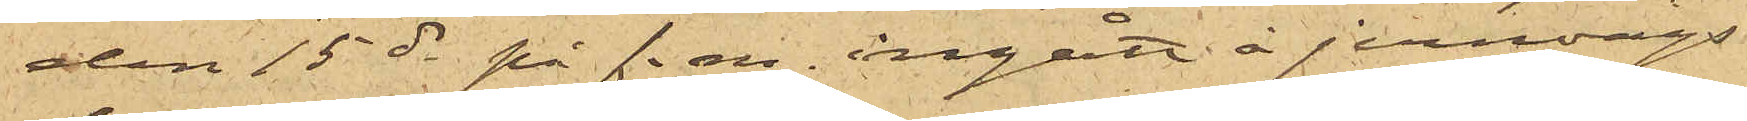den 15 ds på f.m. ingått å jernvägs¬
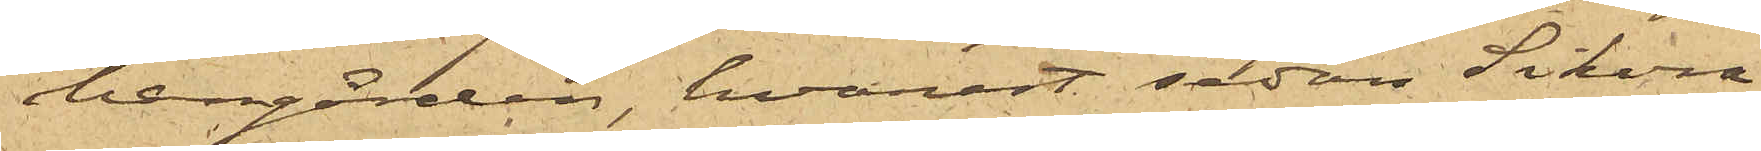bangården, hvarest sedan Sikora
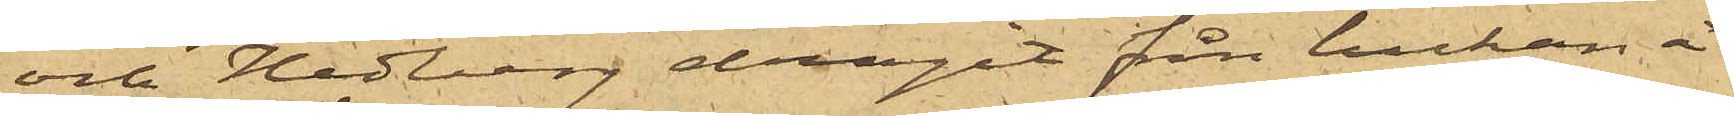och Hedberg dragit från luckan å
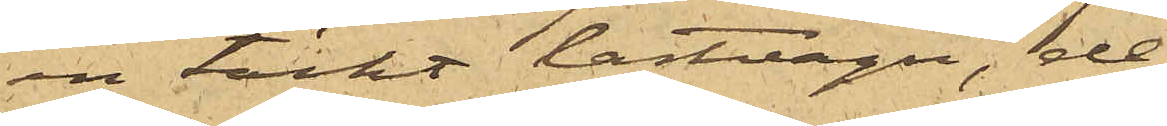en täckt lastvagn, de
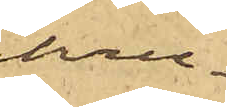kru¬
